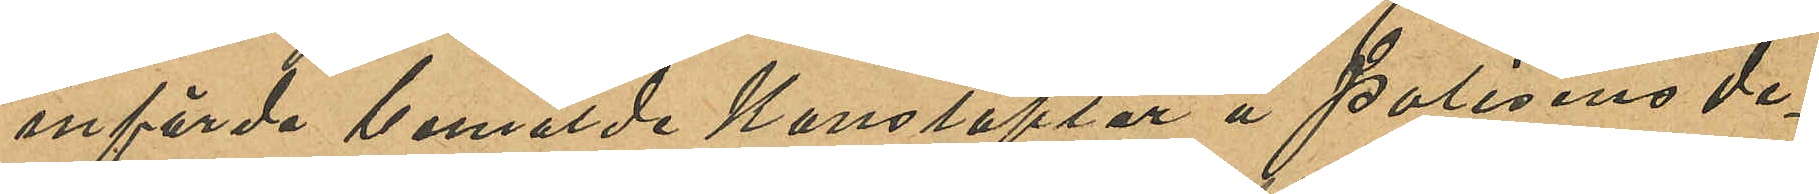införde bemälde Konstaplar å Polisens de¬
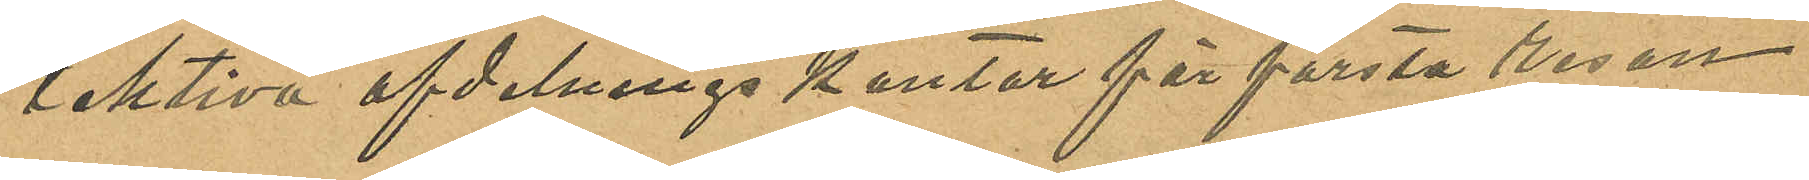tektiva afdelnings kontor för första resan
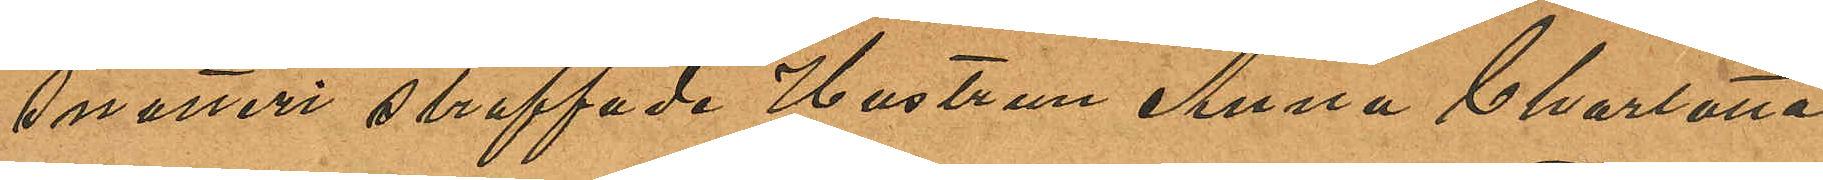snatteri straffade Hustrun Anna Charlotta
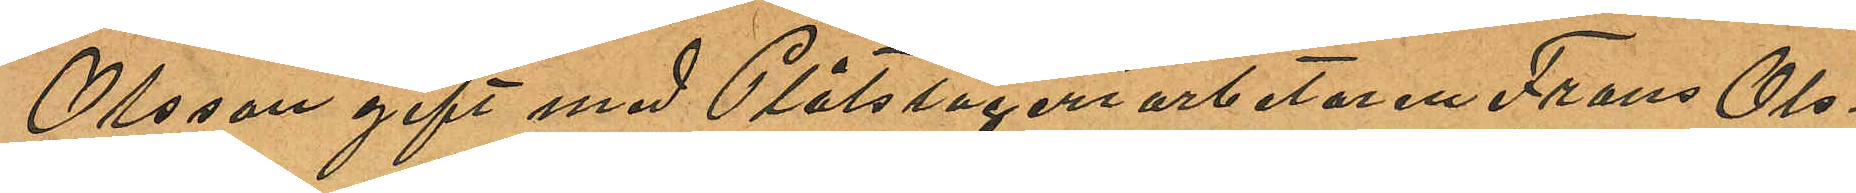Olsson gift med Plåtslageriarbetaren Frans Ols¬
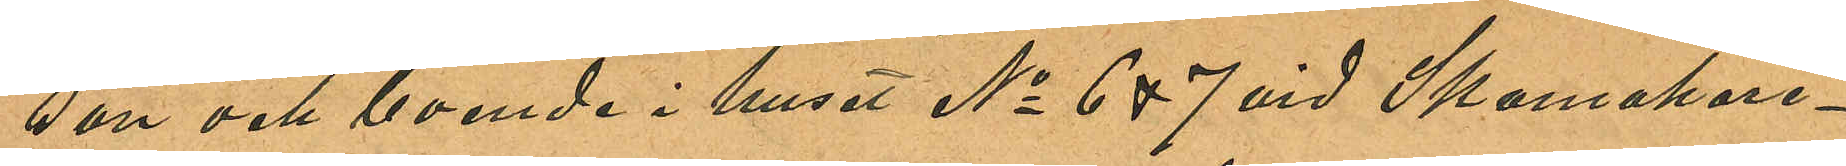son och boende i huset No 6 & 7 vid Skomakare¬
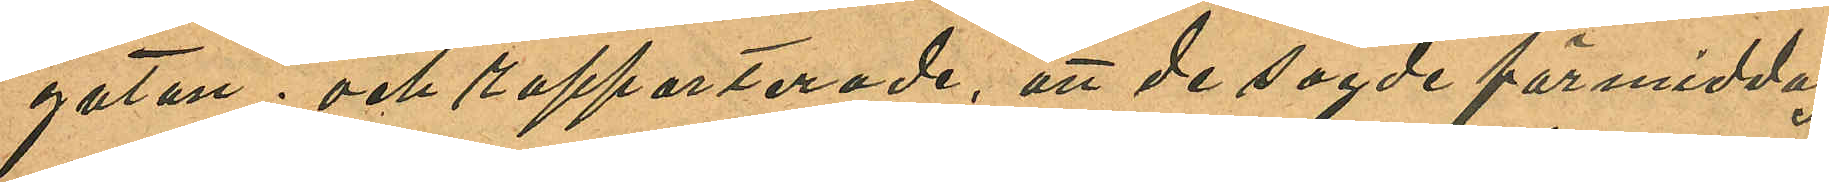gatan; och rapporterade, att de sagde förmiddag
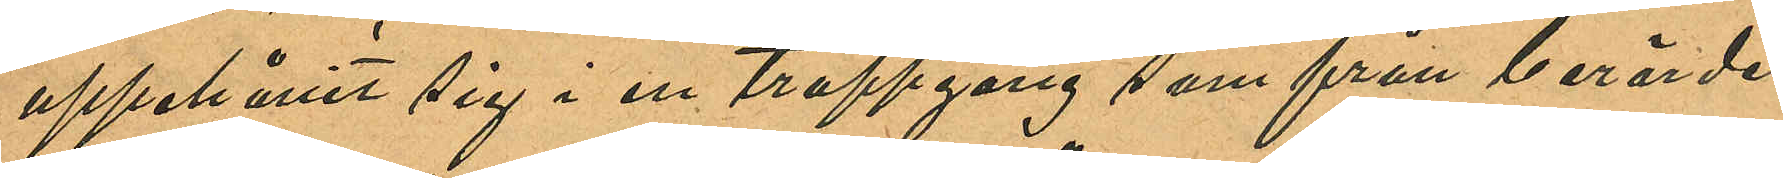uppehållit sig i en trappgång som från berörde
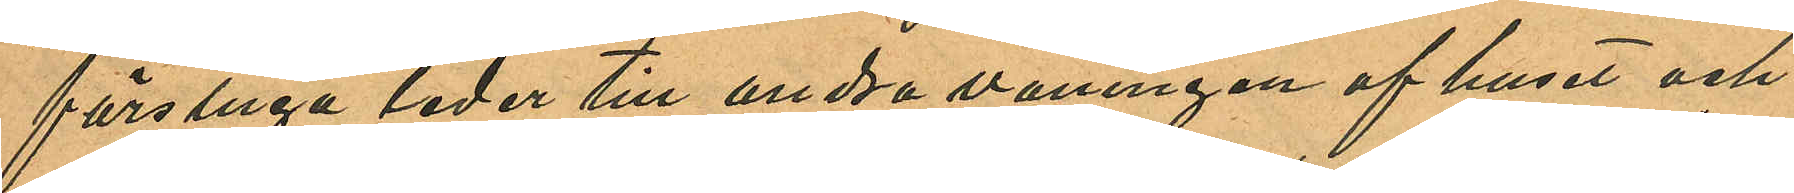förstuga leder till andra våningen af huset och
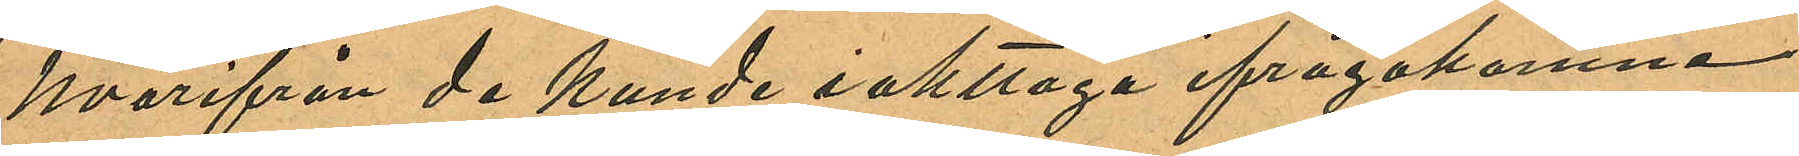hvarifrån de kunde iakttaga ifrågakomne
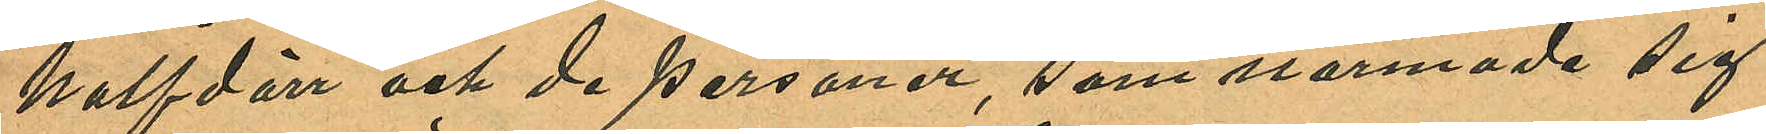halfdörr och de personer, som närmade sig
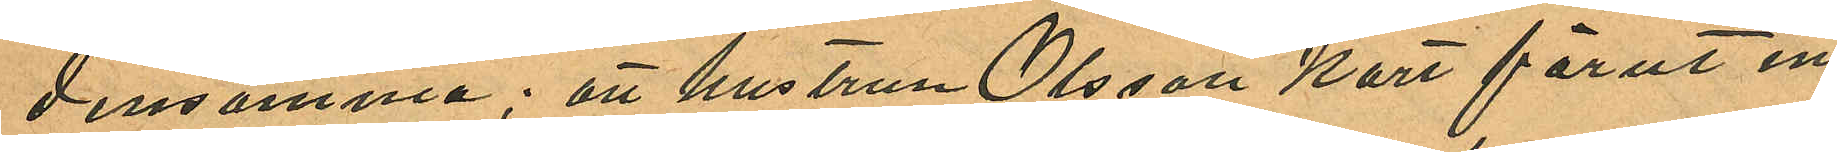densamma; att hustrun Olsson kort förut in¬
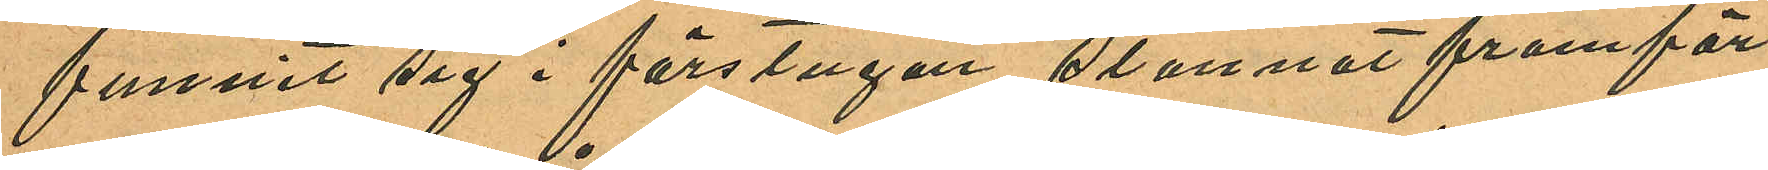funnit sig i förstugan stannat framför
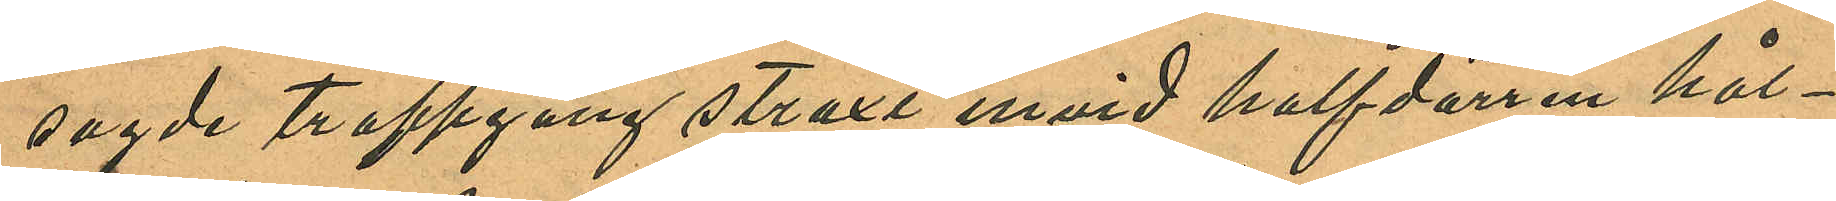sagde trappgång straxt invid halfdörren hål¬
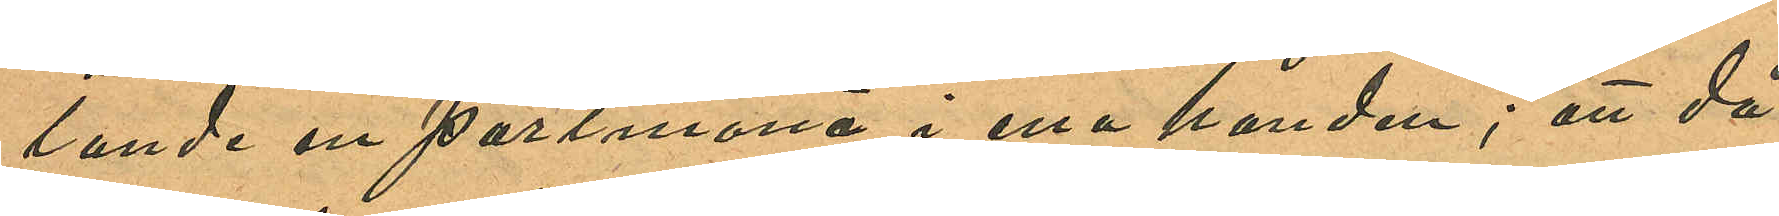lande en portmonä i ena handen; att då
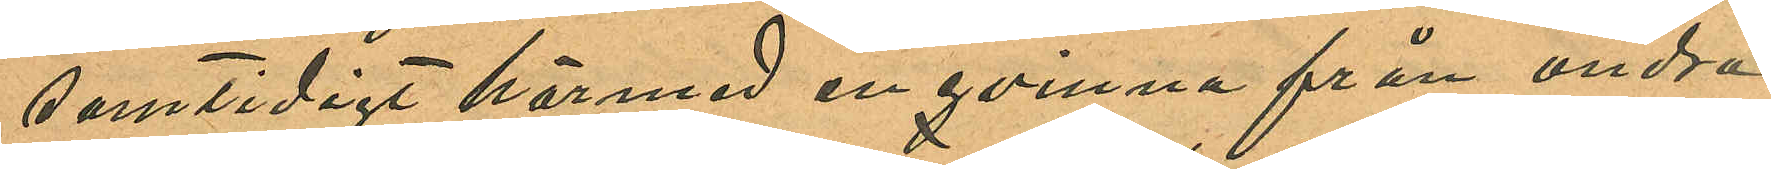samtidigt härmed en qvinna från andra
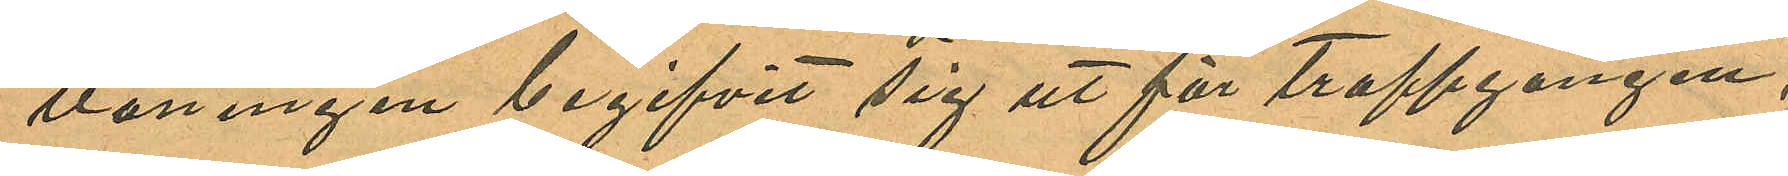våningen begifvit sig ut för trappgången,
